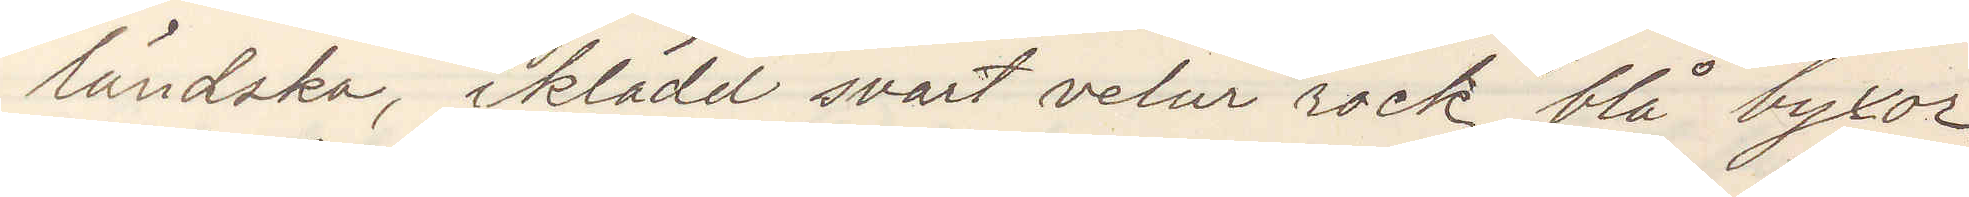ländska, iklädd svart velur rock blå byxor
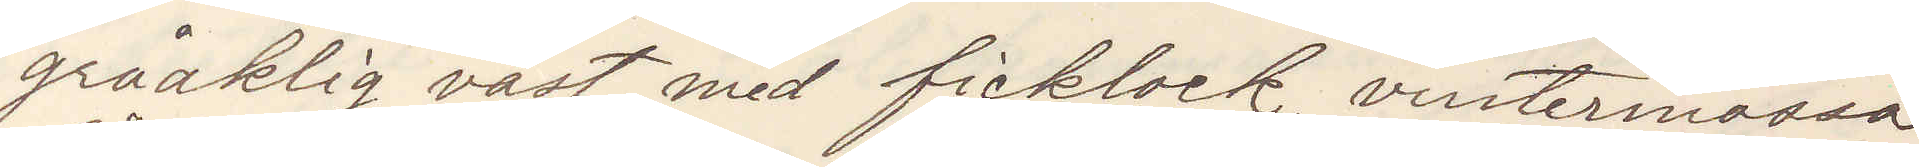gråaktig väst med ficklock, vintermössa
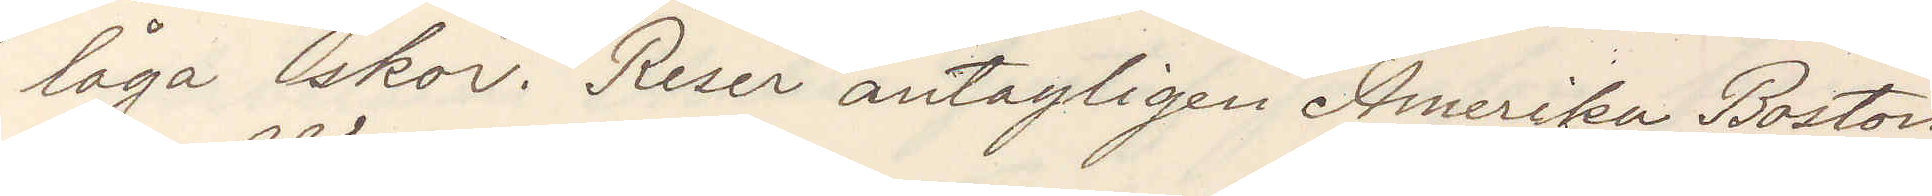låga skor. Reser antagligen Amerika Boston
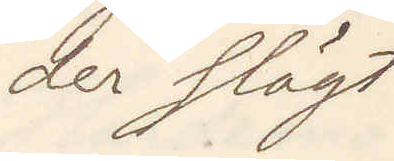der slägt
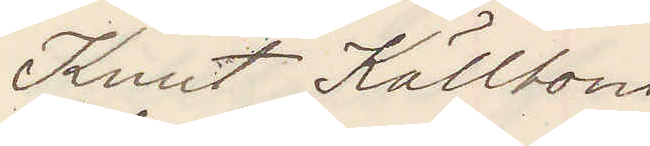Knut Källbom
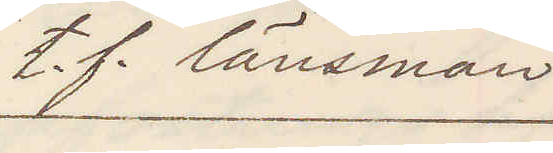t. f. länsman
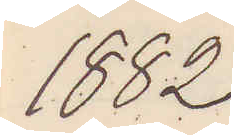1882
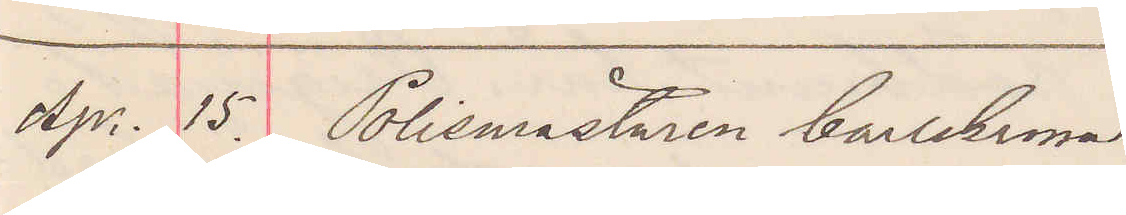Apr. 15. Polismästaren Carlskrona
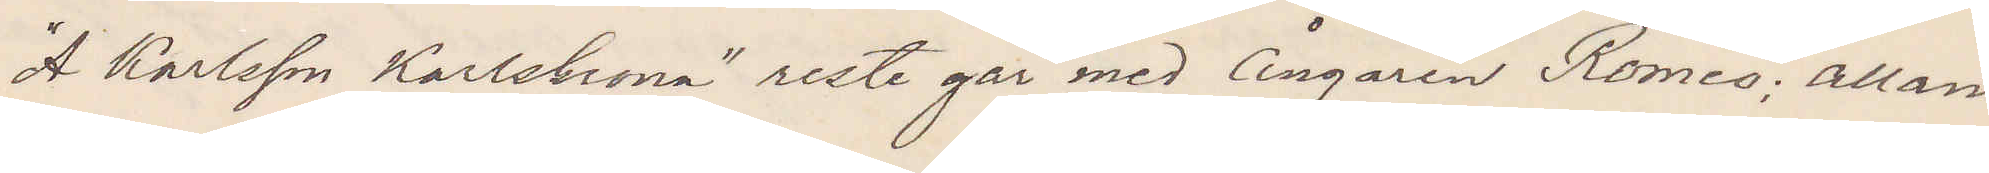"A Karlsson Karlskrona" reste går med Ångaren Romeo: allan¬
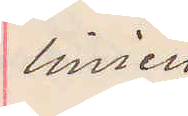linien.
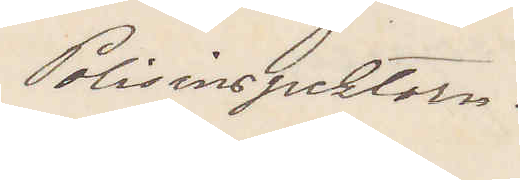Polisinspektorn.
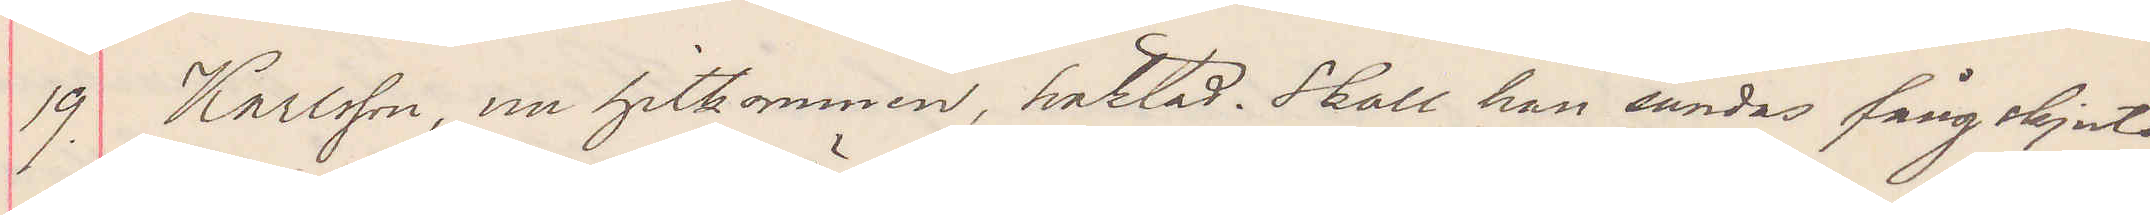19 Karlsson, nu hitkommen, häktad. Skall han sändas fångskjuts
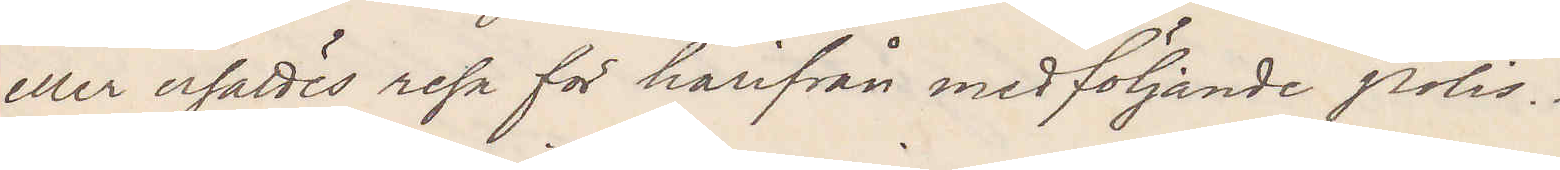eller ersättes resa för härifrån medföljande polis.
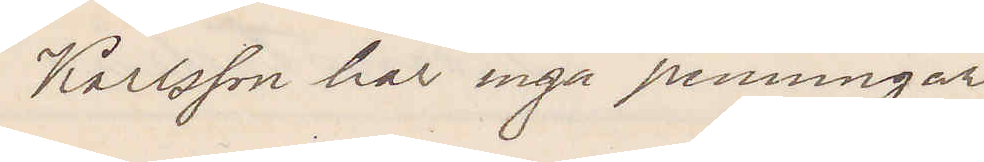Karlsson har inga penningar.
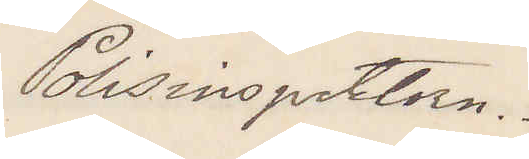Polisinspektorn.
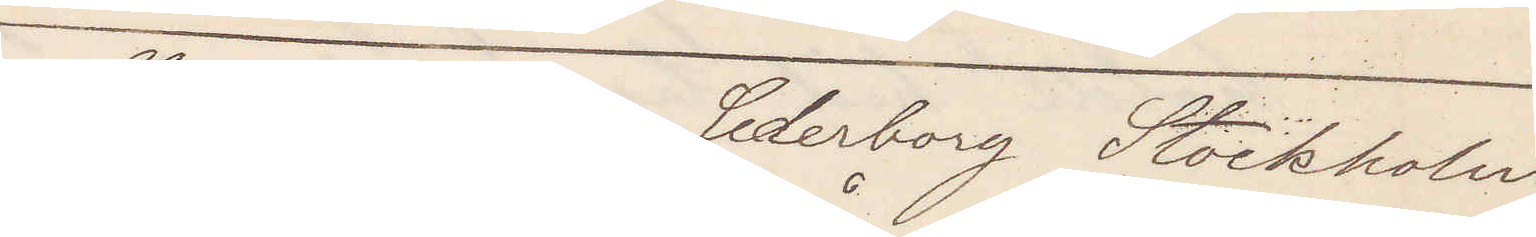Stadsfiskalen Cederborg Stockholm
